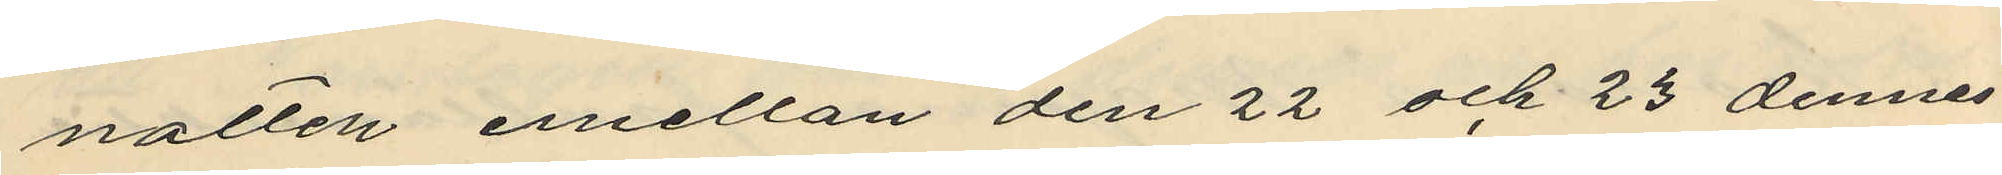natten emellan den 22 och 23 dennes
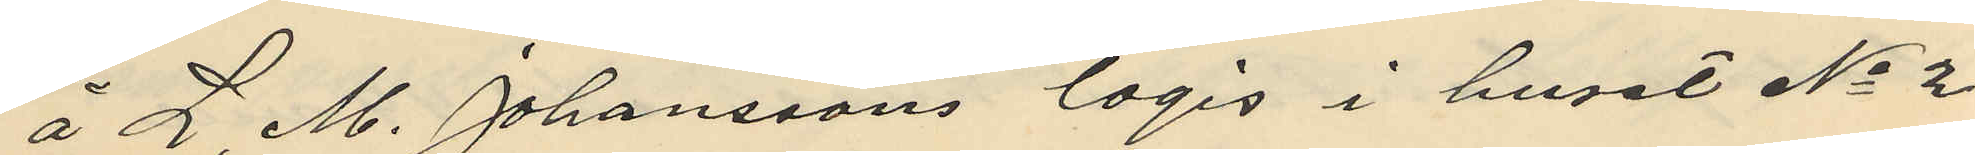å L. M. Johanssons logis i huset No 2
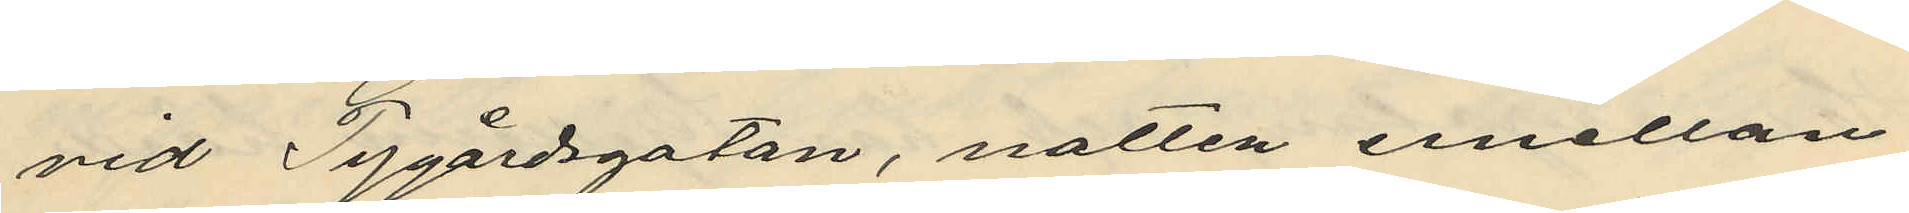vid Tygårdsgatan, natten emellan
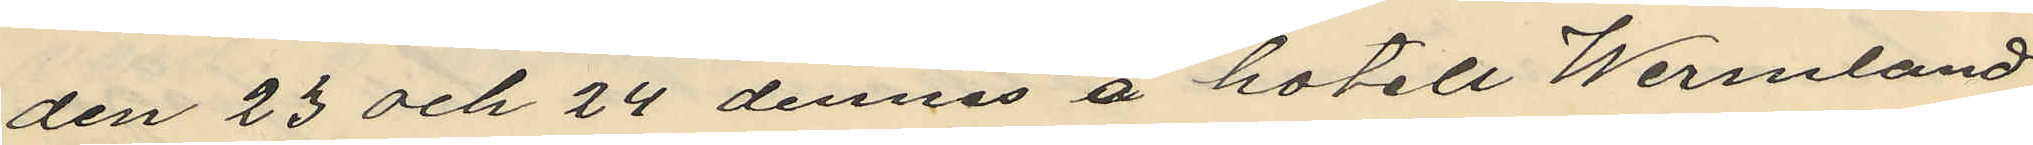den 23 och 24 dennes å hotell Wermland
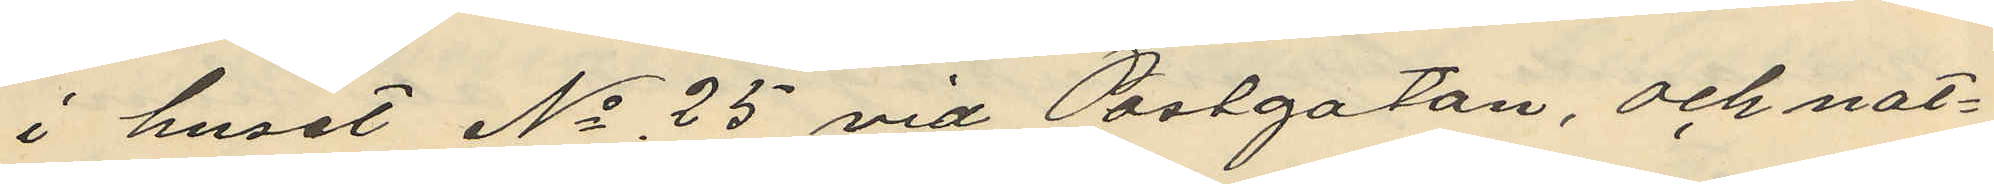i huset No 25 vid Postgatan, och nat¬
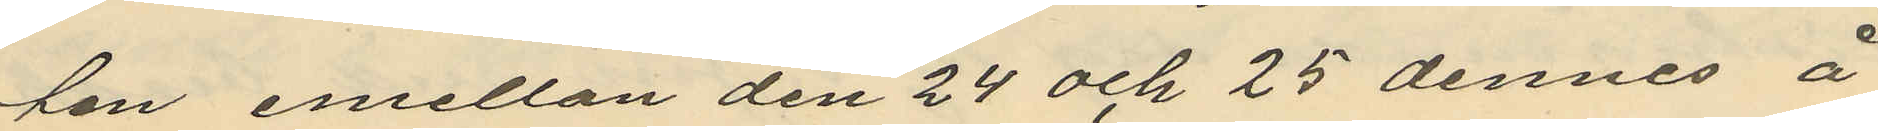han emellan den 24 och 25 dennes å
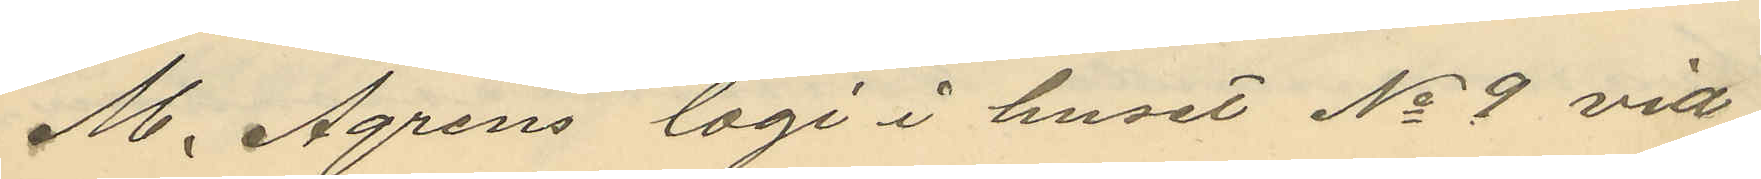M. Ågrens logi i huset No 9 vid
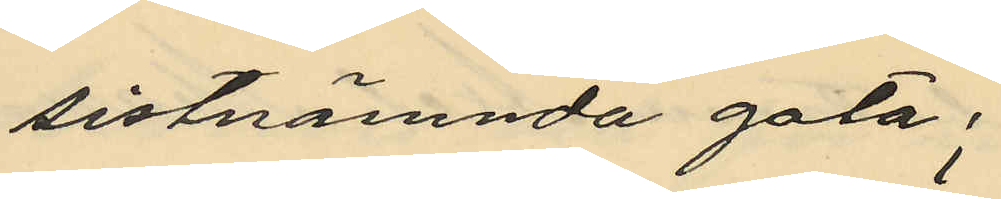sistnämnda gata;
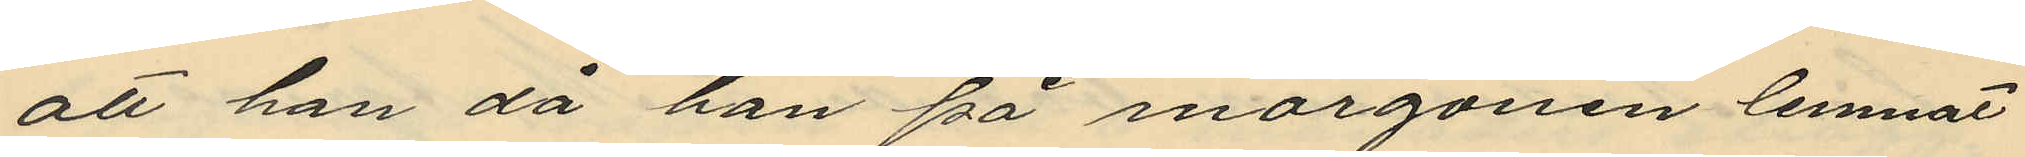att han då han på morgonen lemnat
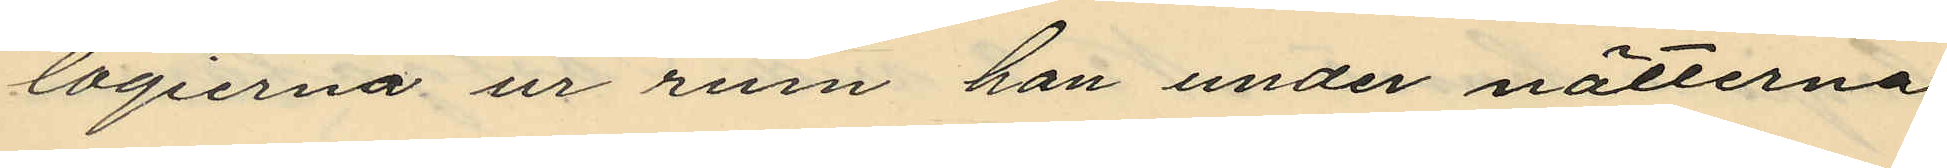logierna ur rum han under nätterna
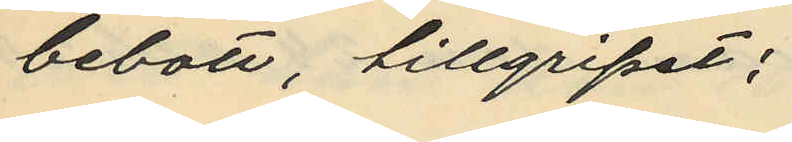bebott, tillgripit:
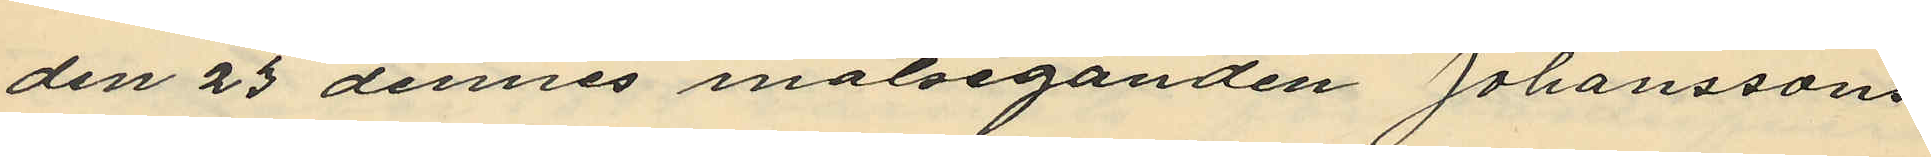den 23 dennes målseganden Johanssons
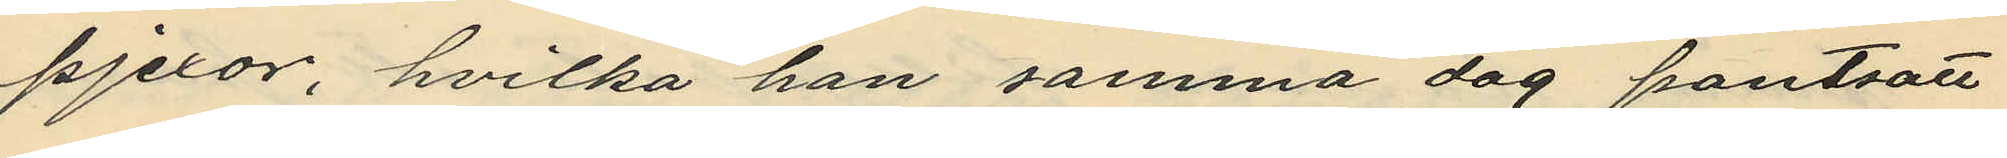pjexor, hvilka han samma dag pantsatt
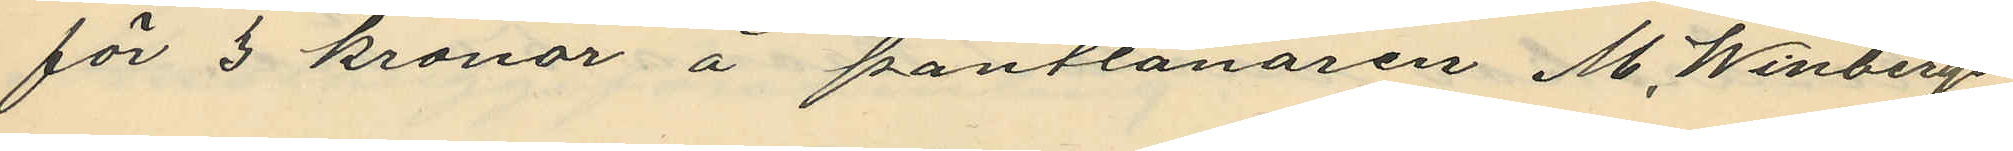för 3 kronor å pantlånaren M. Winbergs
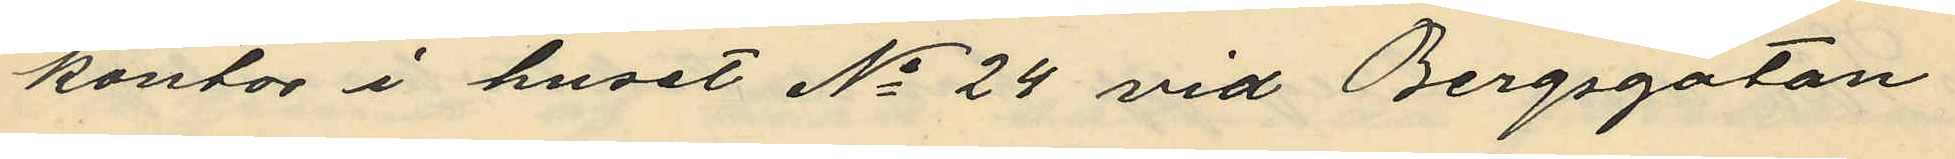kontor i huset No 24 vid Bergsgatan
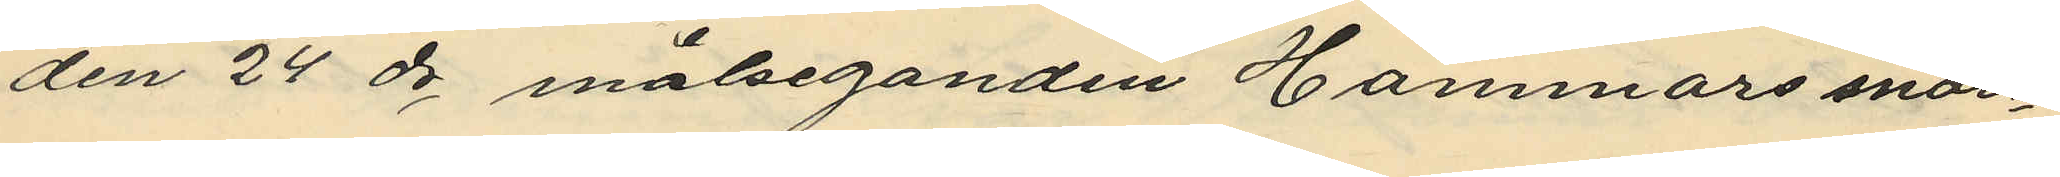den 24 ds målseganden Hammars snör¬
